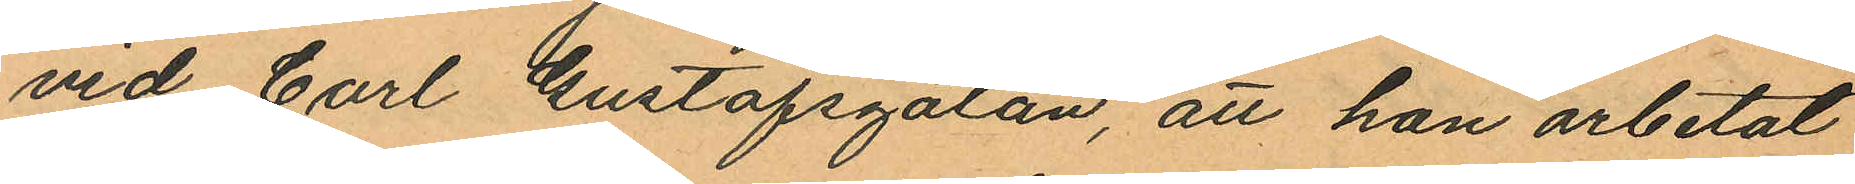vid Carl Gustafsgatan, att hon arbetat
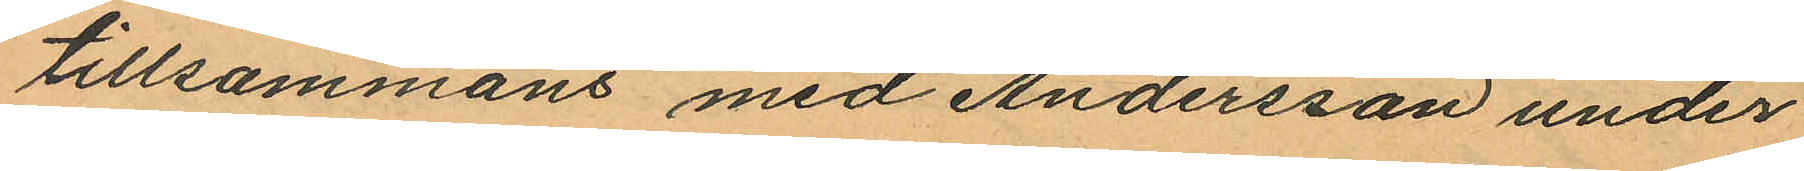tillsammans med Andersson under
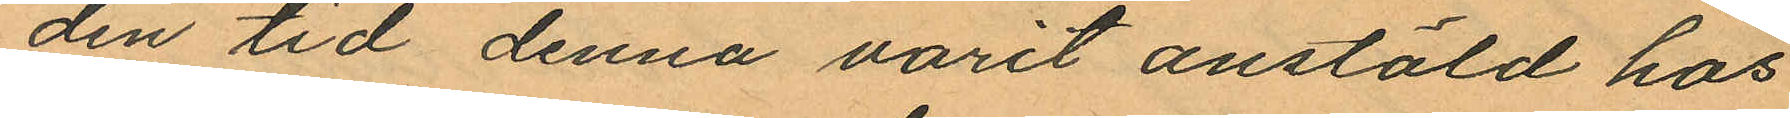den tid denna varit anstäld hos
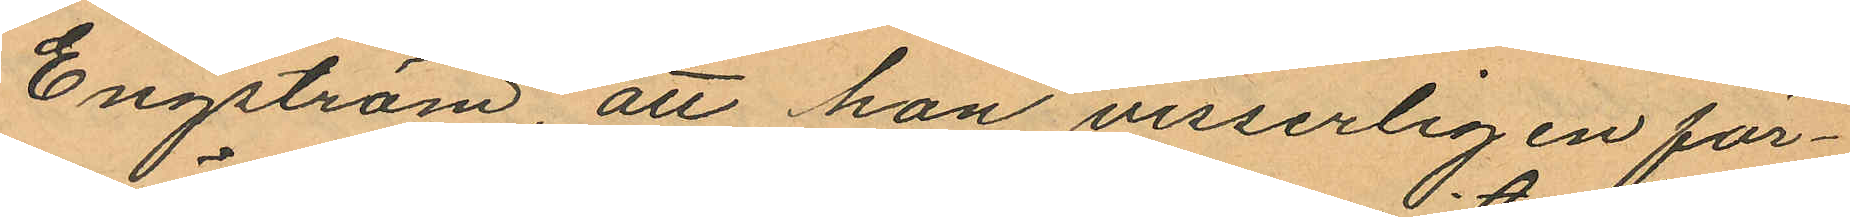Engström, att hon visserligen för¬
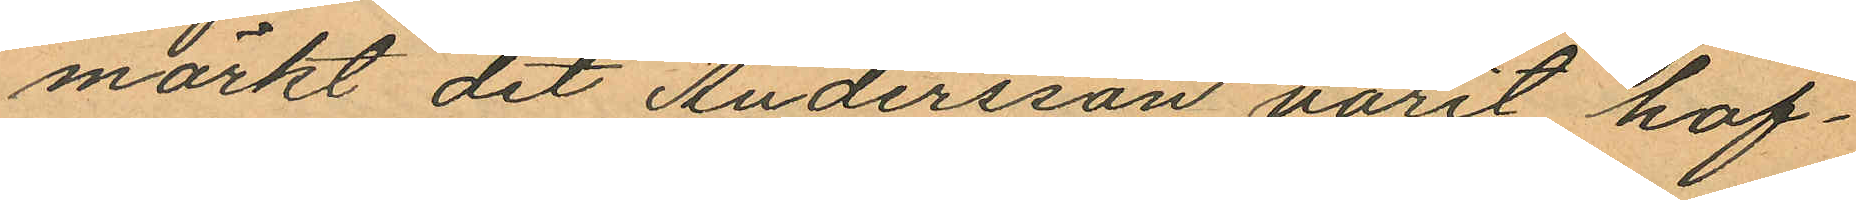märkt det Andersson varit haf¬
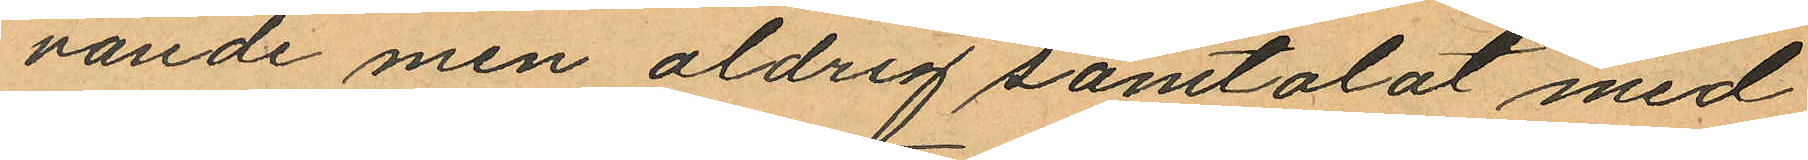vande men aldrig samtalat med
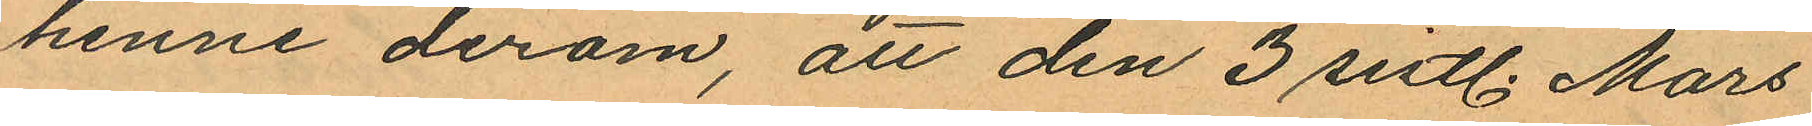henne derom, att den 3 sistl. Mars
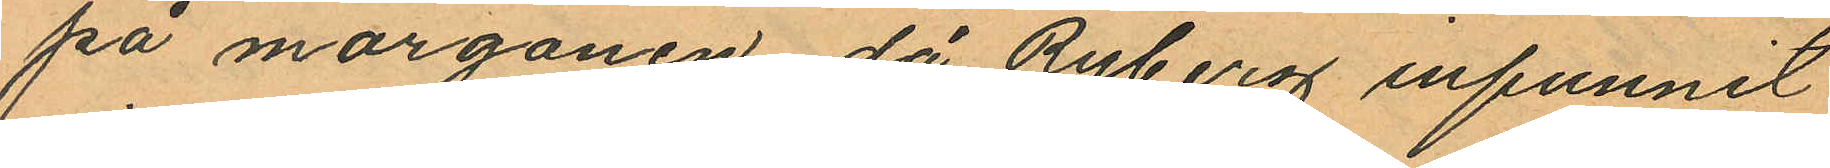på morgonen då Ryberg infunnit
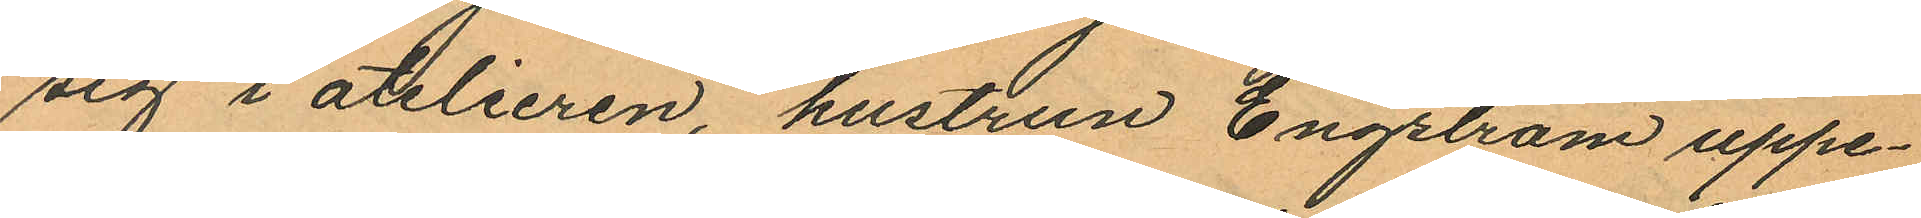sig i atelieren, hustrun Engström uppe¬
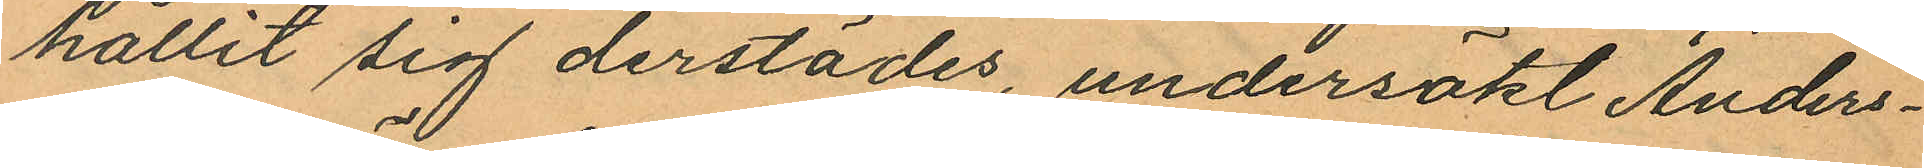hållit sig derstädes, undersökt Anders¬
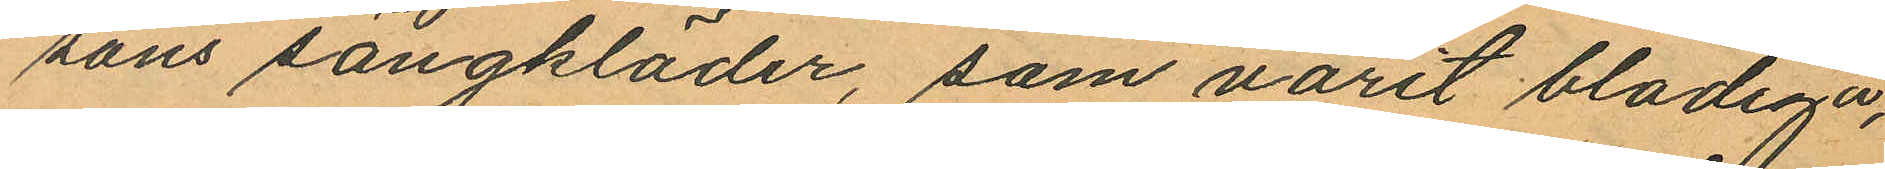sons sängkläder, som varit blodiga,
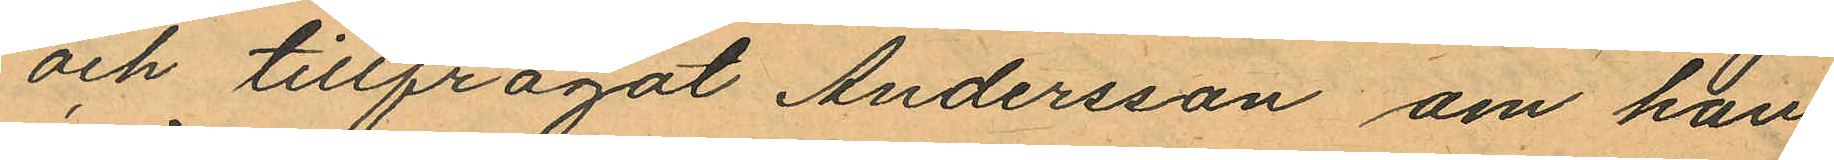och tillfrågat Andersson om hon
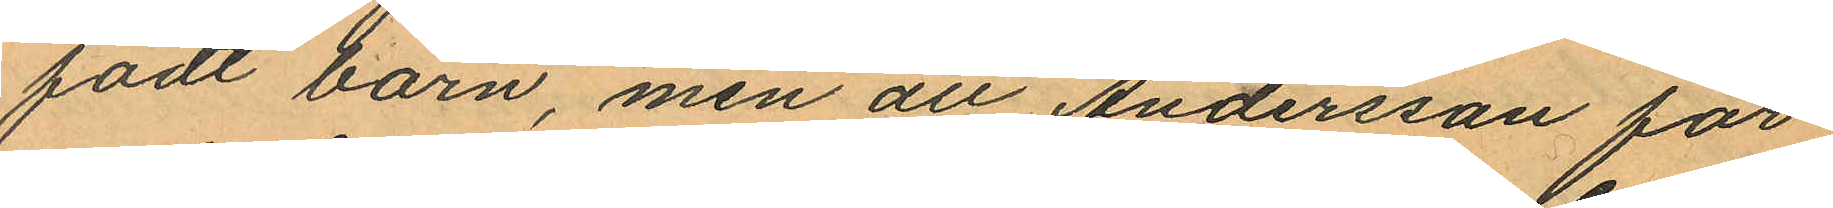födt barn, men att Andersson för¬
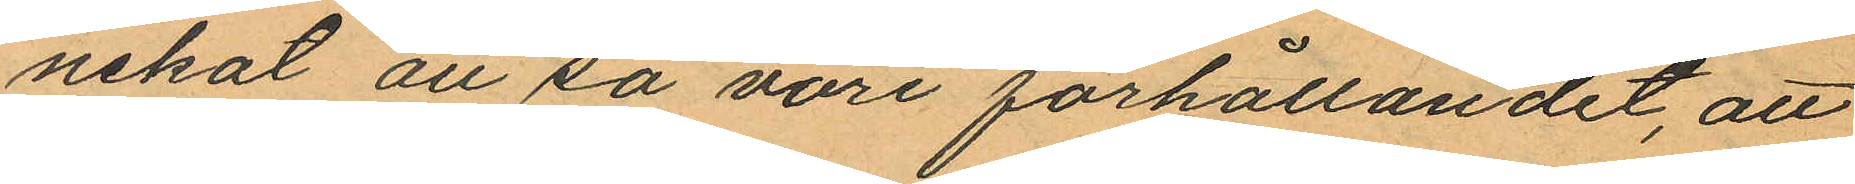nekat att så vore förhållandet, att
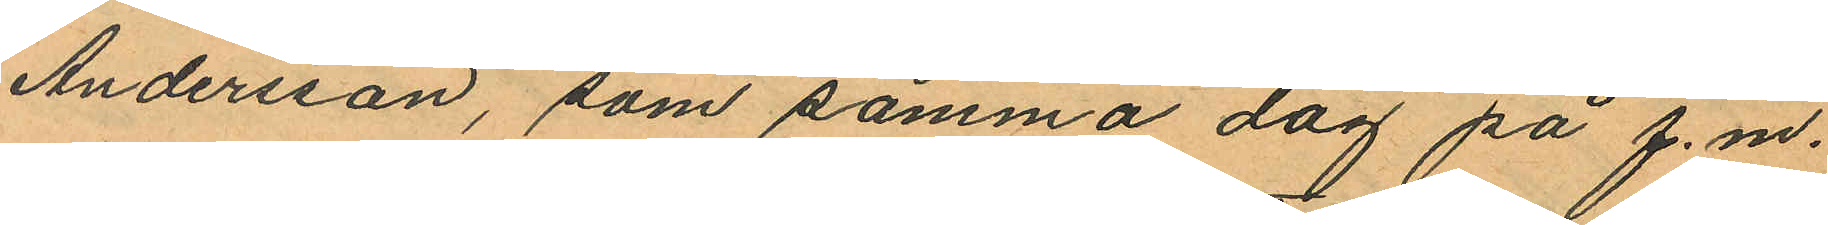Andersson, som samma dag på f.m.
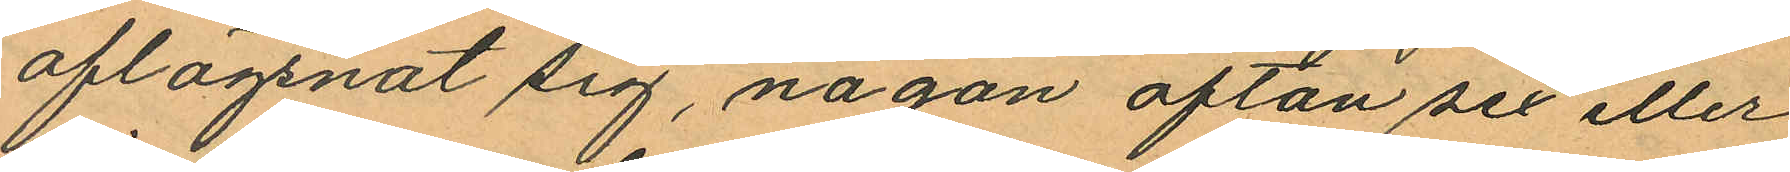aflägsnat sig, någon afton sex eller
